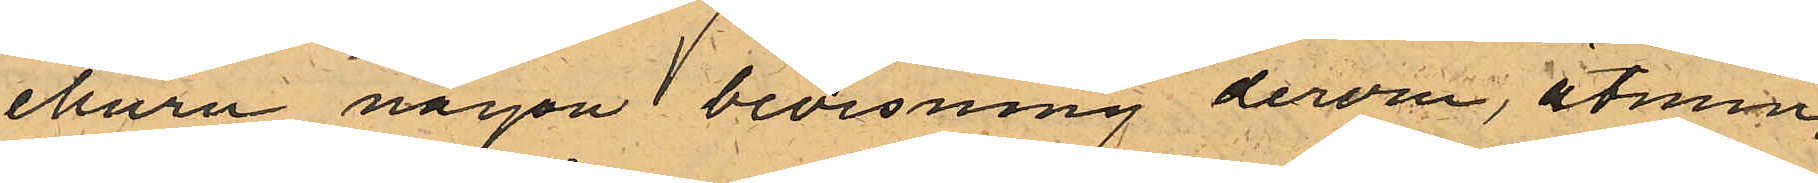ehuru någon bevisning derom, åtmin¬
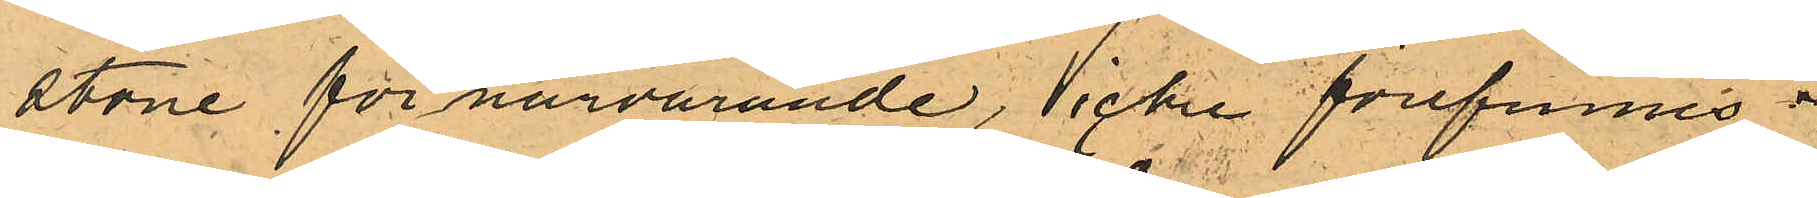stone för närvarande, icke förefinnes.
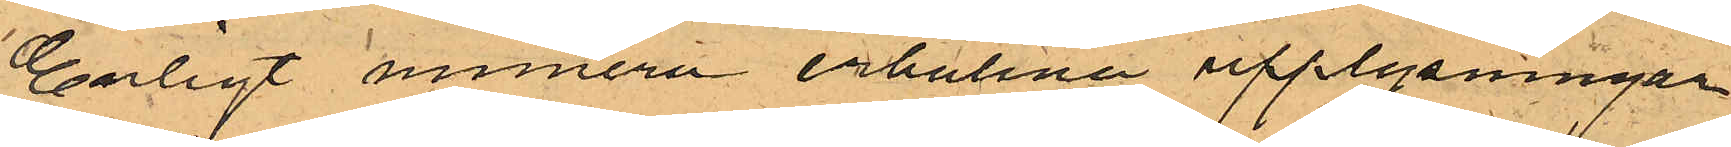Enligt numera erhållna upplysningar
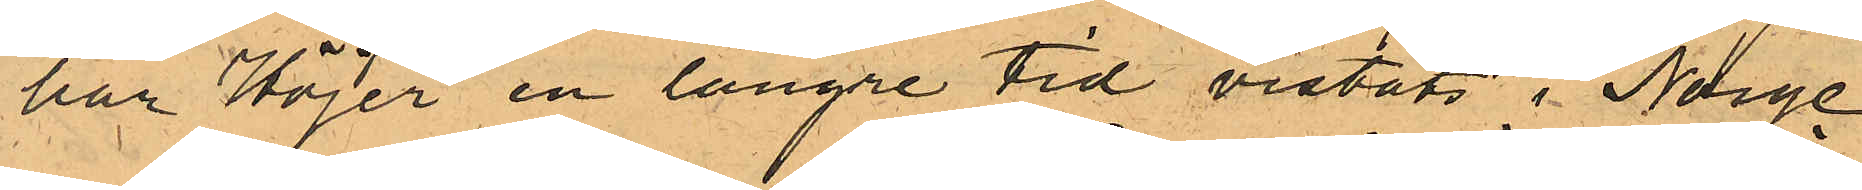har Höjer en längre tid vistats i Norge
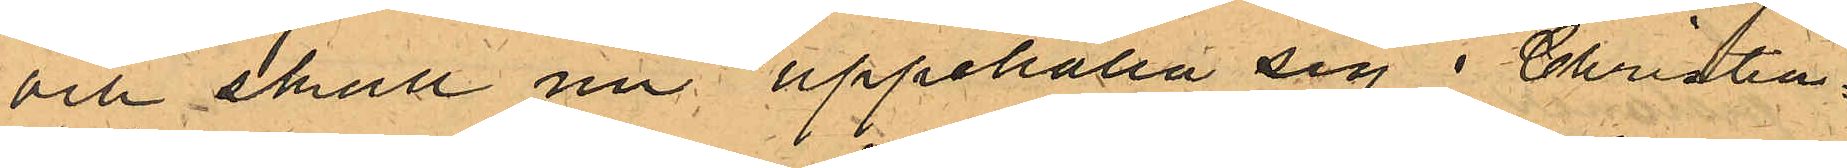och skall nu uppehålla sig i Christia¬
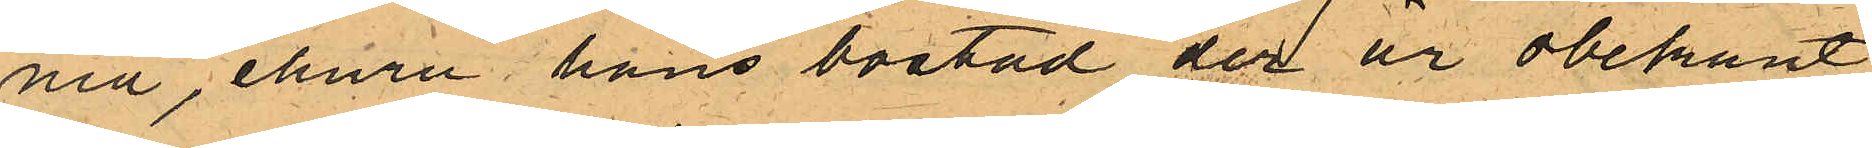nia, ehuru hans bostad der ur obekant,
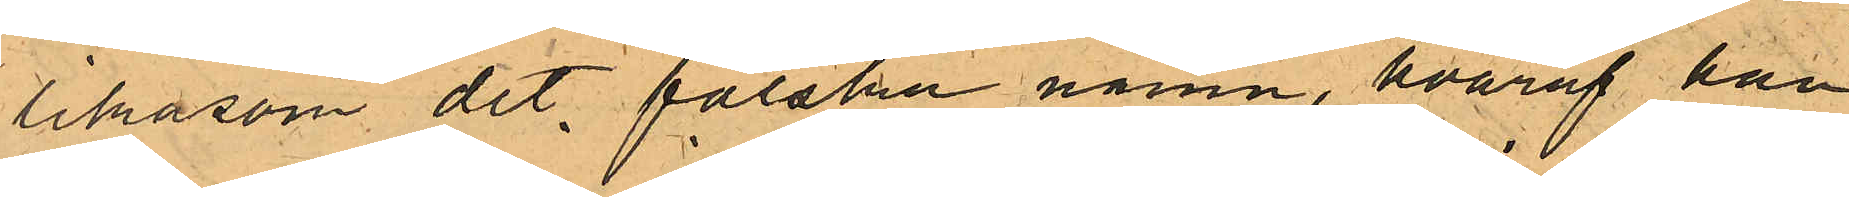likasom det falska namn, hvaraf han
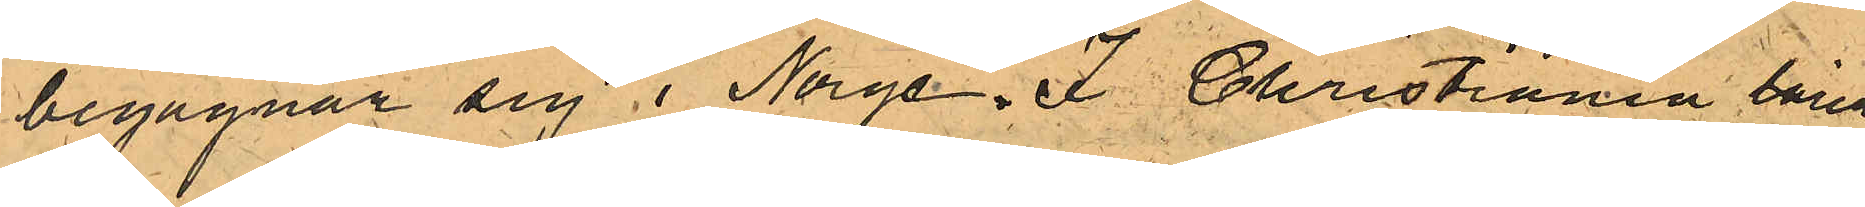begagnar sig i Norge. I Christiania lärer
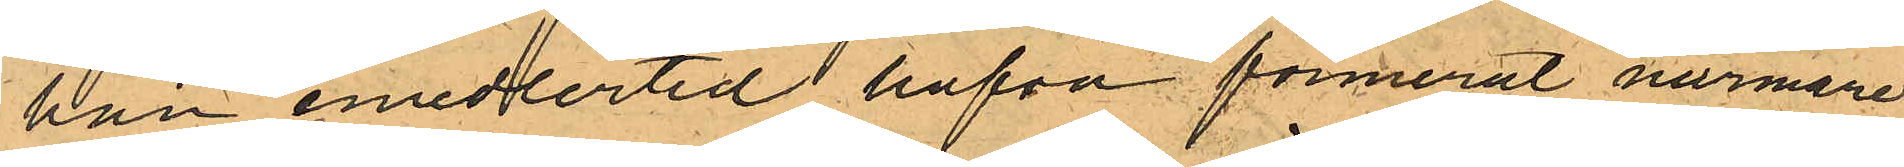han emellertid hafva formerat närmare
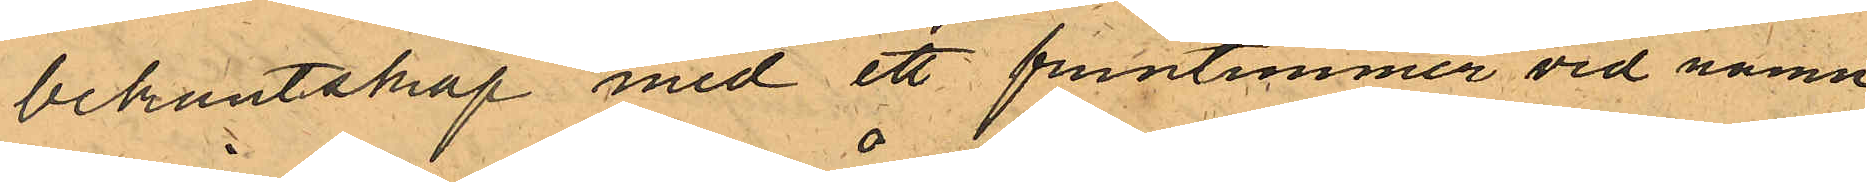bekantskap med ett fruntimmer vid namn
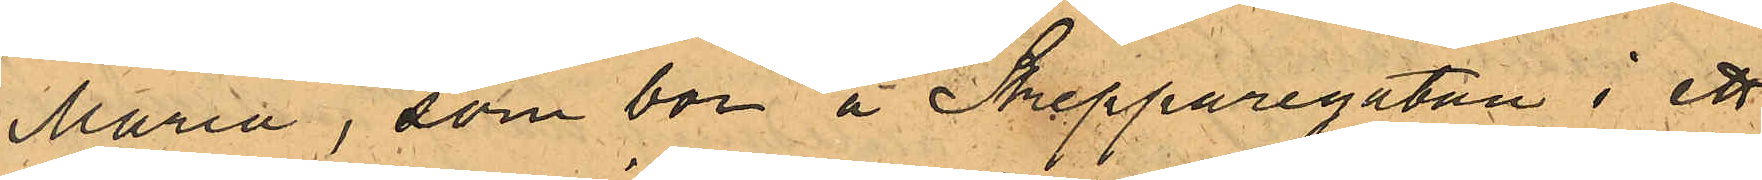Maria, som bor å Skepparegatan i ett
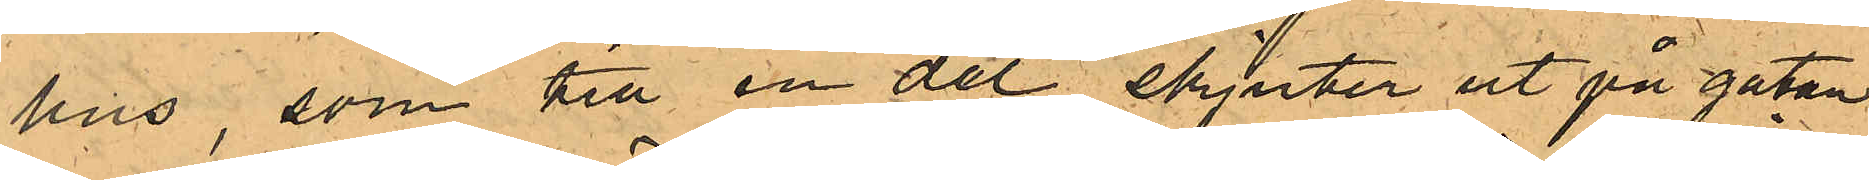hus som till en del skjuter ut på gatan
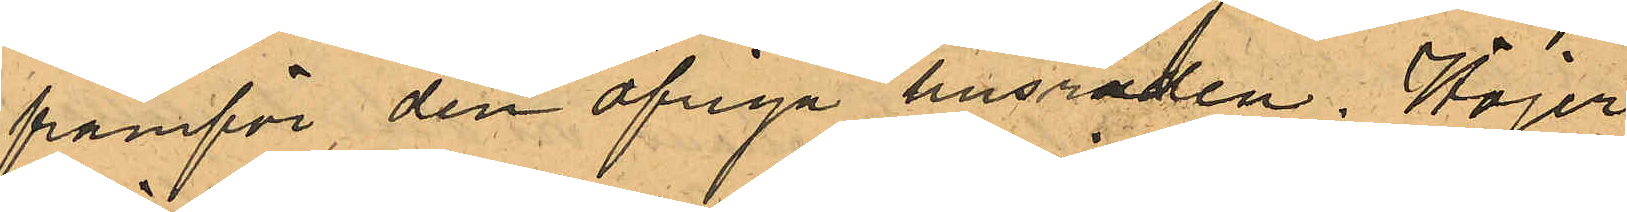framför den öfriga husraden. Höjer
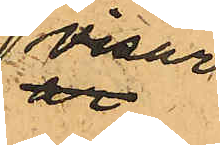visar
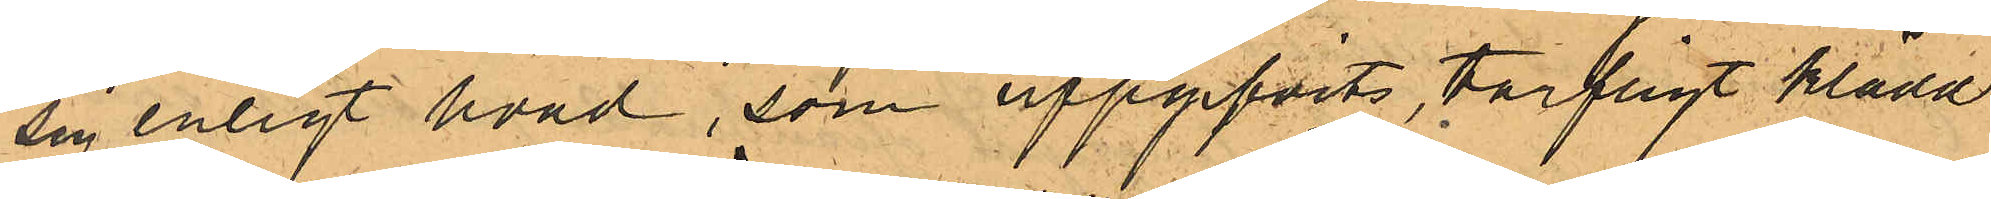sig enligt hvad, som uppgifvits, tarfligt klädd
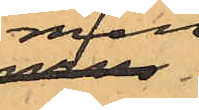men
